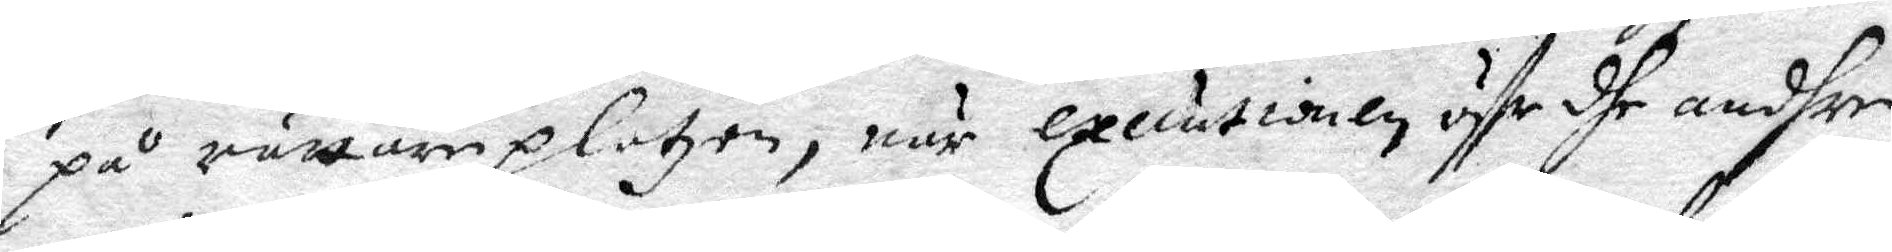på rättareplatzen, när executionen öffr dhe andhre
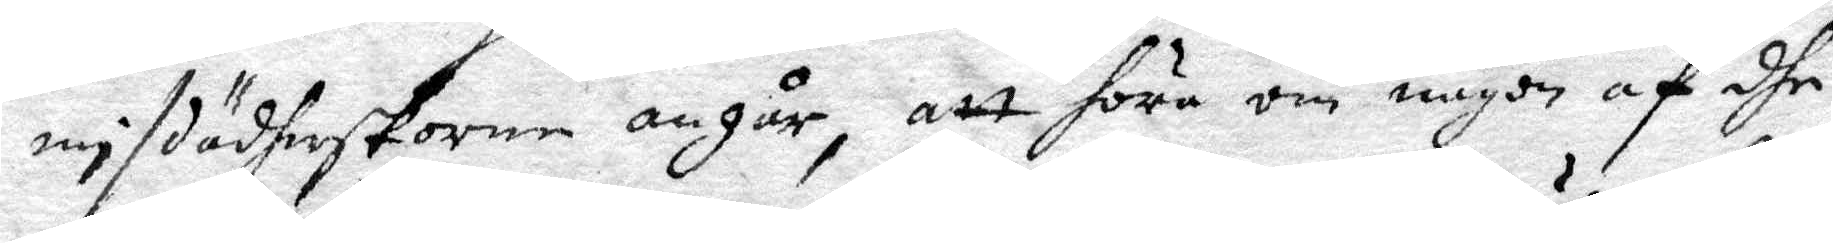misdäderskorne angår, att höra om någon af dhe
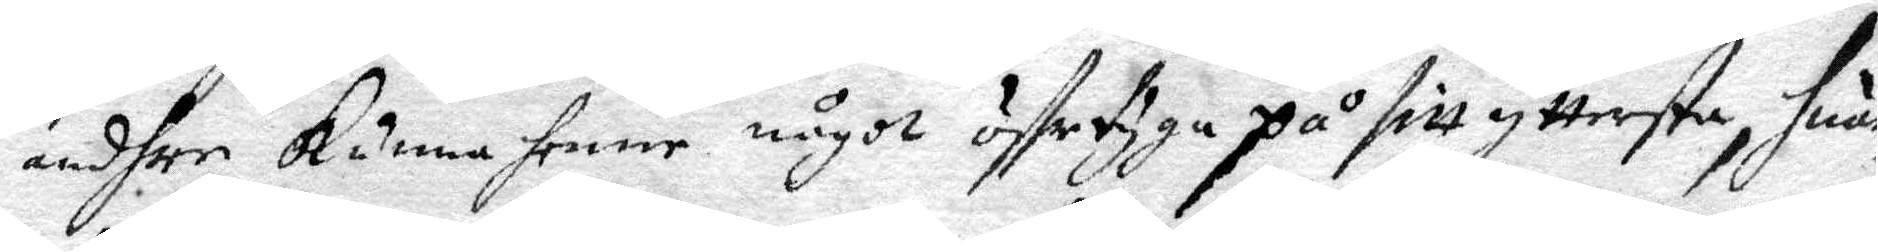andhre kunna henne något öffertyga på sitt yttersta, huar
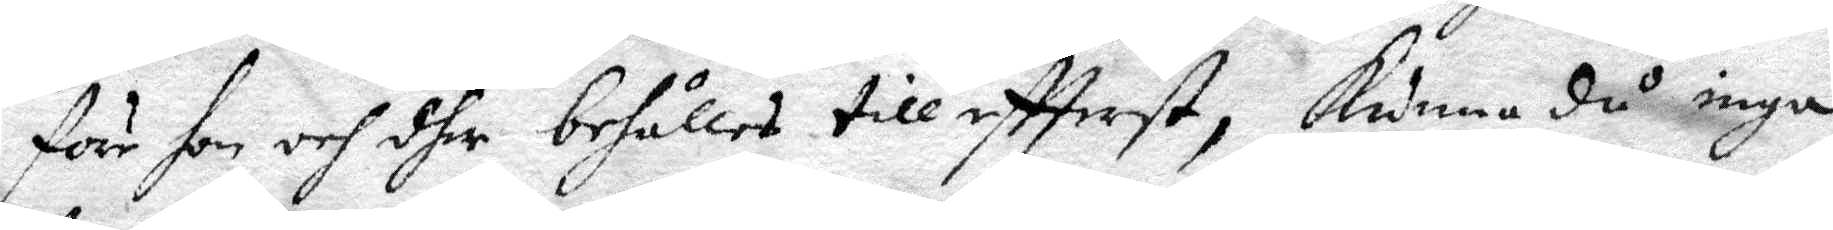före hon och dhe behålles till eftterst, kunna då inga
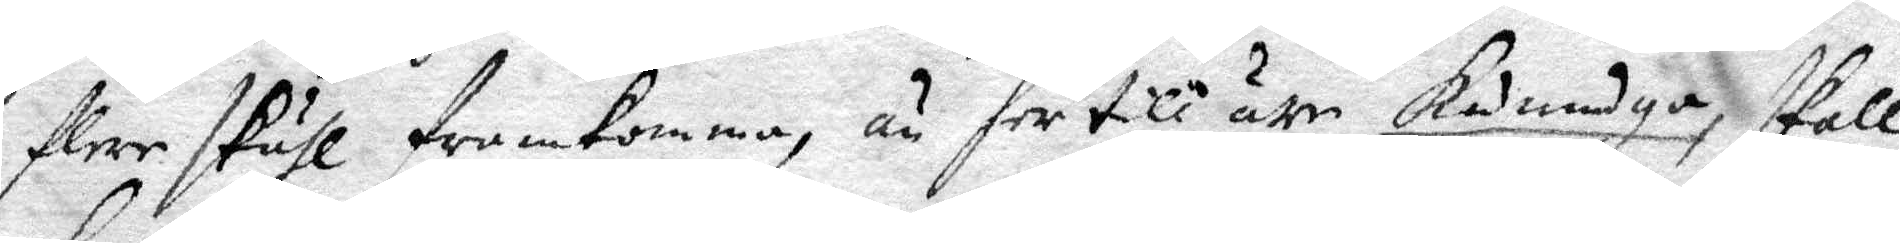flere skähl framkomma, än her till äre känndga, skall
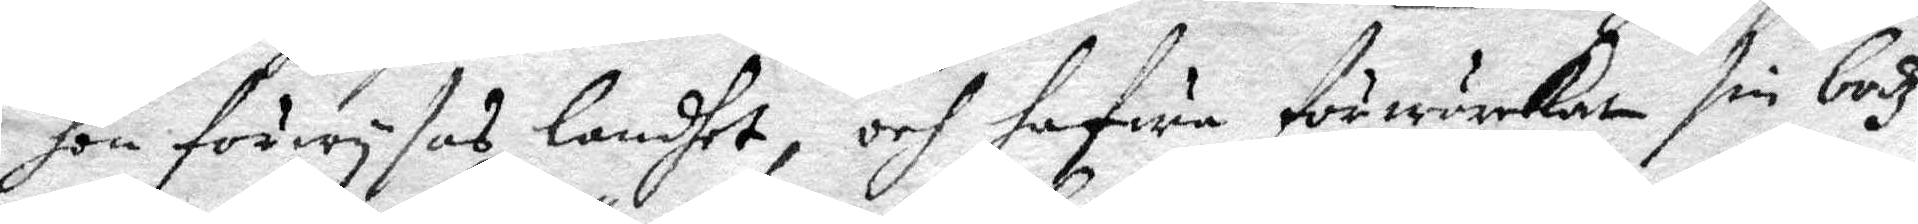hon förwysas landhet, och hafua förwärkat sin bodz¬
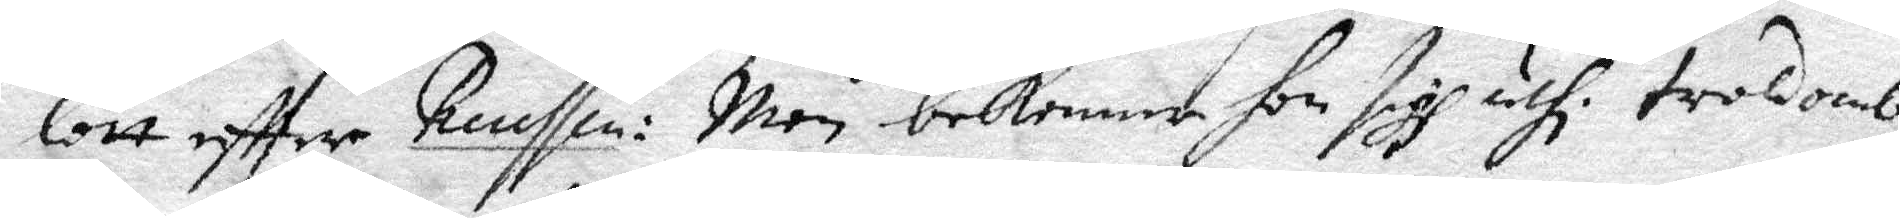lott eftter Renssen: Men bekenna hon sigh uthi troldomb
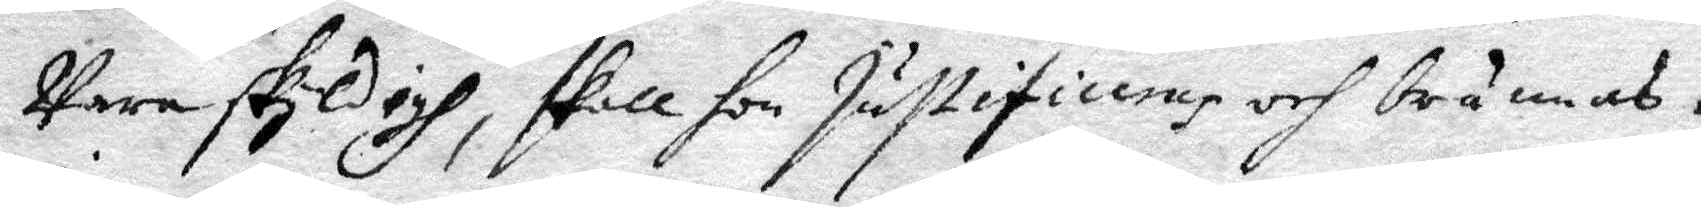Vara skyldigh, skall hon justifideras och brännas.
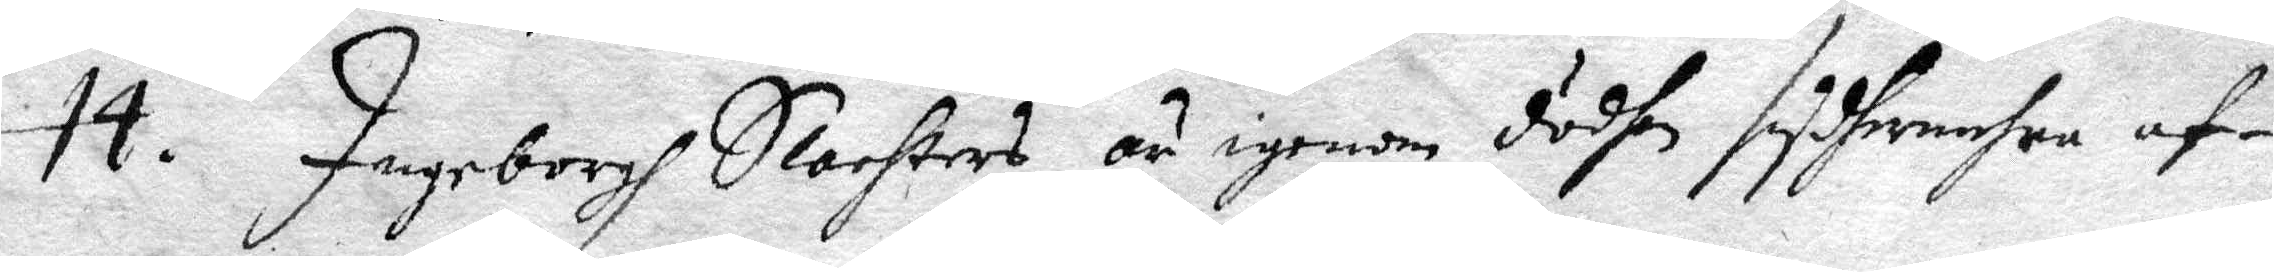14. Ingeborgh Slachters är igenom dödhen sydhermehra af¬
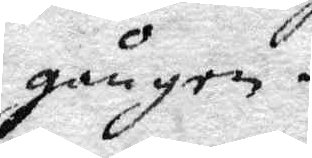gången.
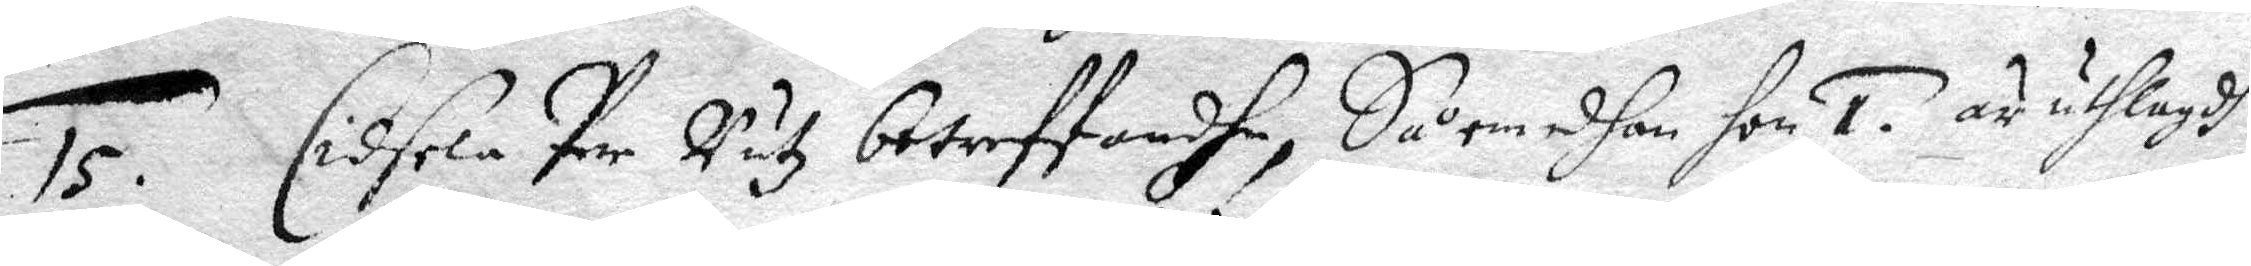15. Cidsela Per Rutz betreffandhe, Så emedhan hon 1. är uthlagdh
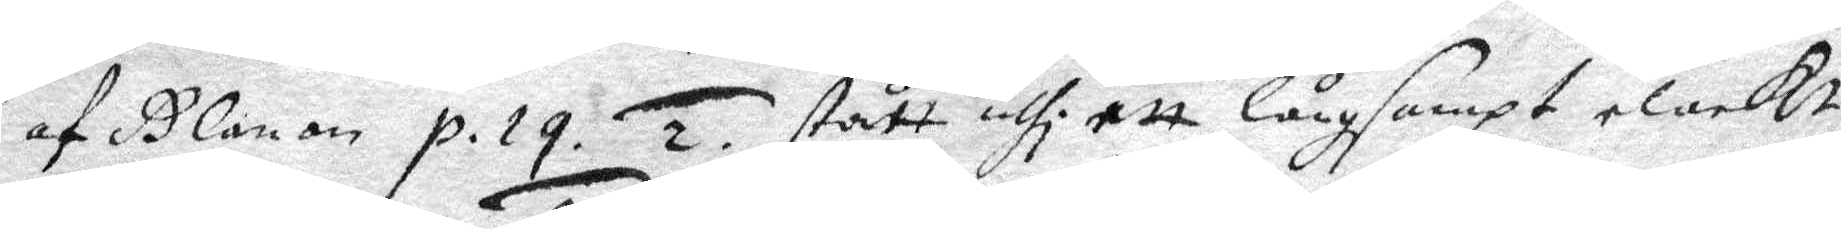af Glanan p. 19. 2. stått uthi ett långsampt elackt
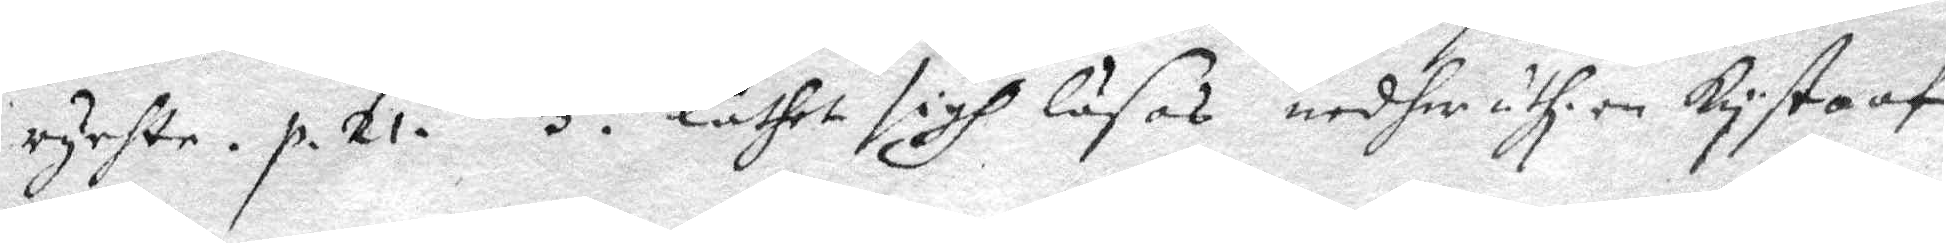rychte. p. 21. 3. låthet sigh läsas nedher uthi en kysta af
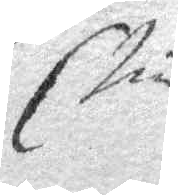Elin
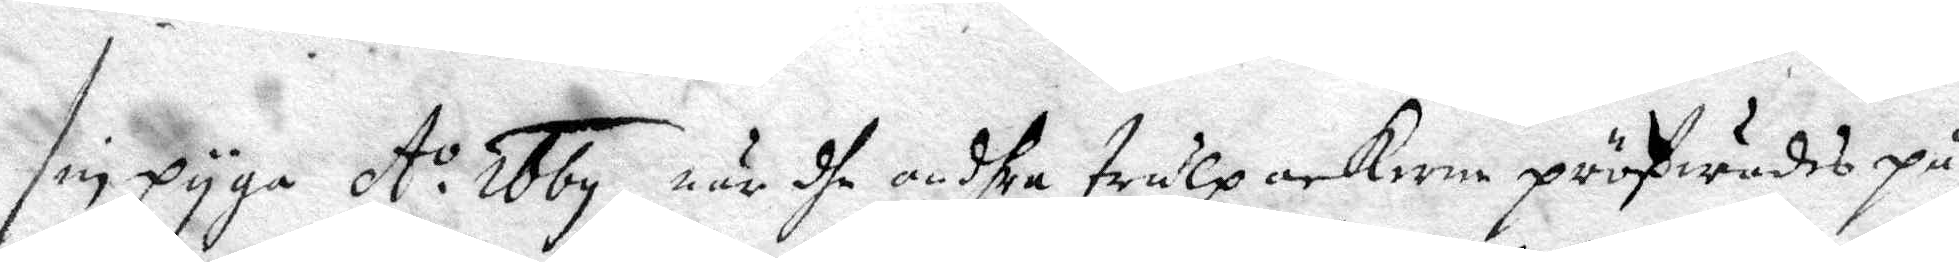sin pyga A:o 1669, när dhe andhra trulpackorne pröfwades på
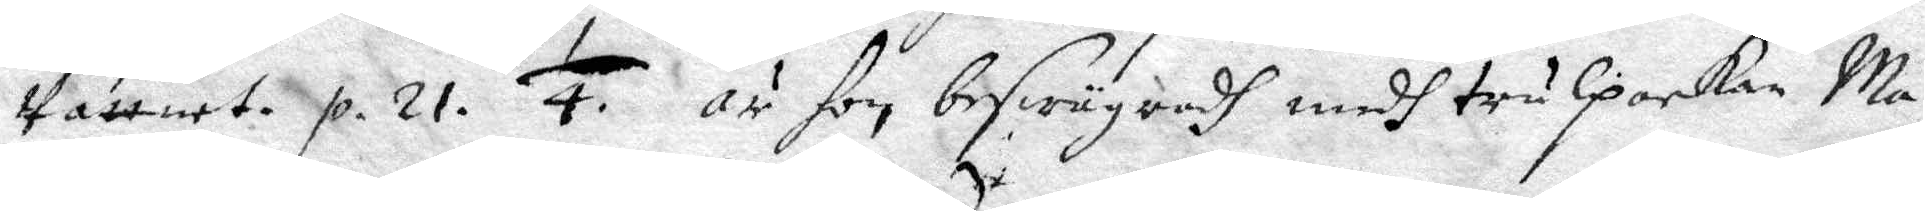Vattnet. p. 21. 1/4. är hon beswägradh medh trulpckan Ma¬
